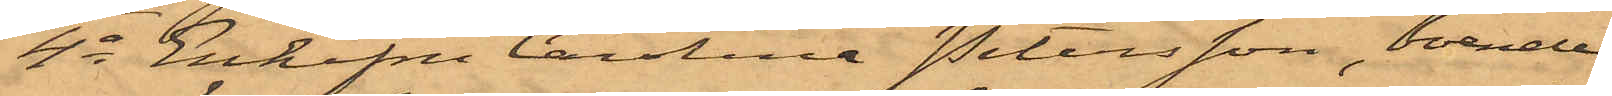4o Enkefru Carolina Petersson, boende
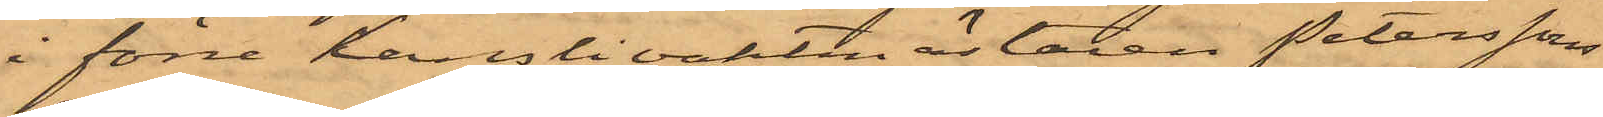i förre kanslivaktmästaren Peterssons
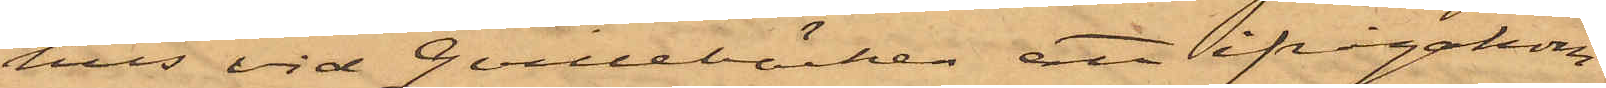hus vid Qvillebäcken att ifrågakom¬
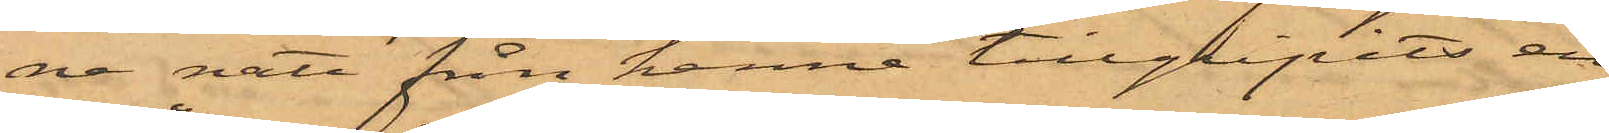ne natt från henne tillgripits en
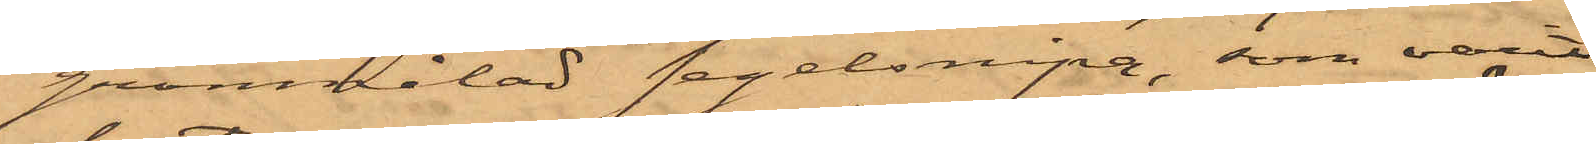grönmålad segelsnipa, som varit
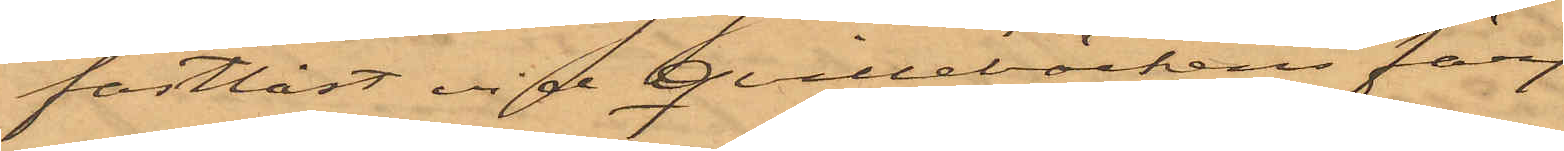fastlåst vid Qvillebäckens färj¬
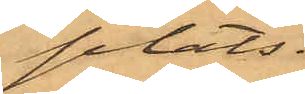plats,
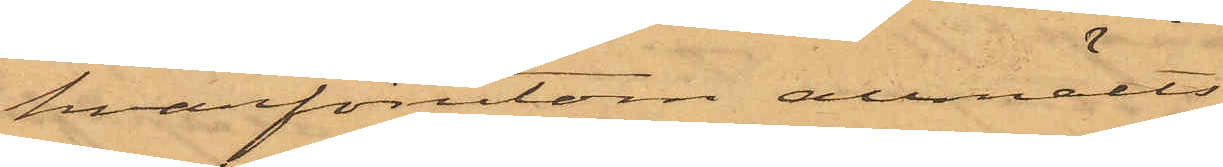hvarförutom anmälts af
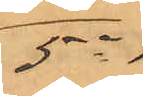5o
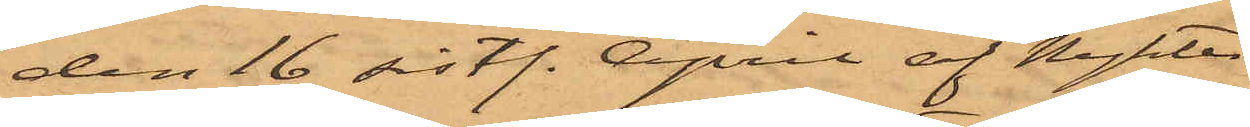den 16 sist. April af Nykter¬
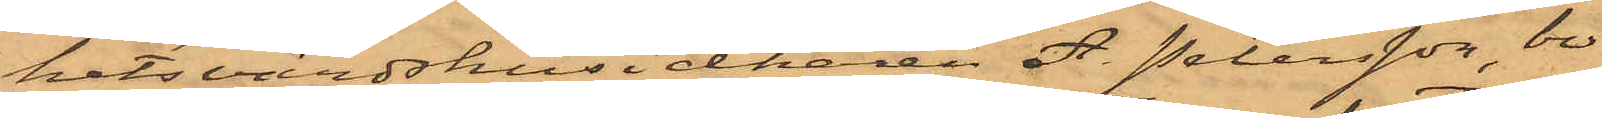hetsvärdshusidkaren A. Petersson, bo¬
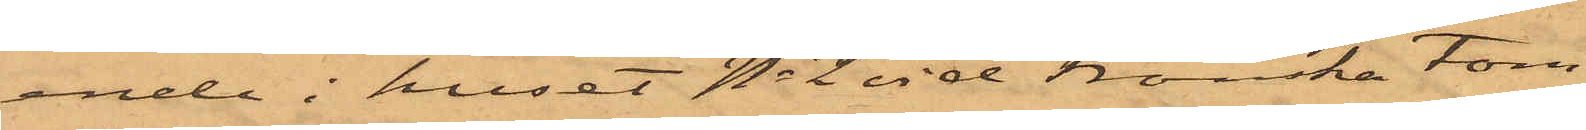ende i huset No 2 vid Franska tom¬
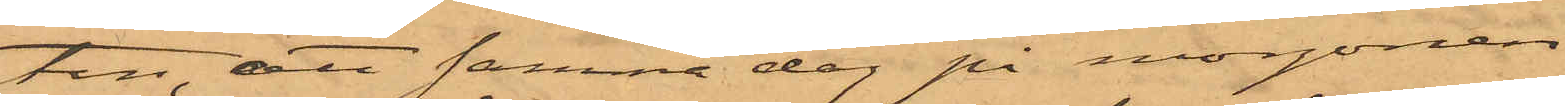ten, att samma dag på morgonen
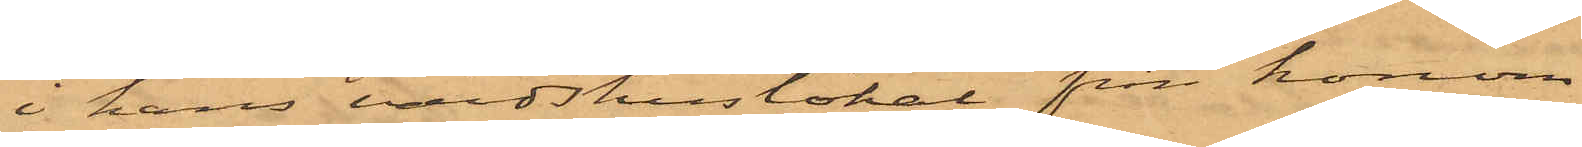i hans värdshuslokal från honom
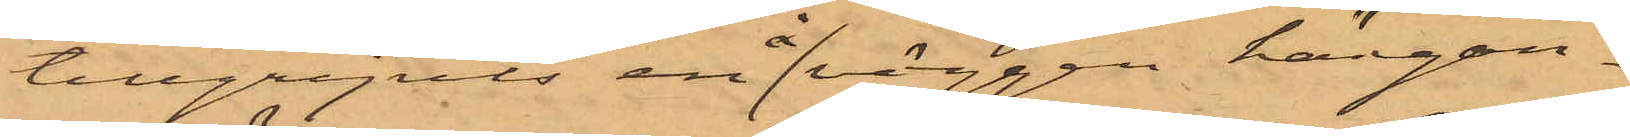tillgripits en å väggen hängan¬
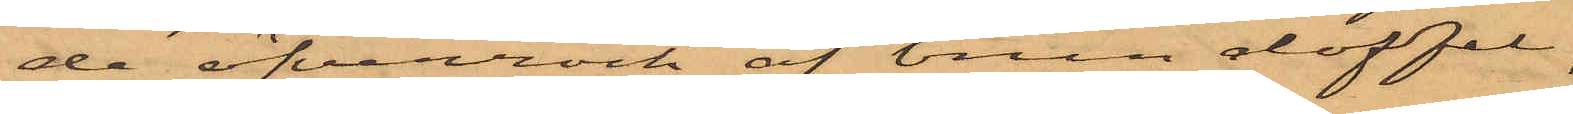de öfverrock af brun doffel,
